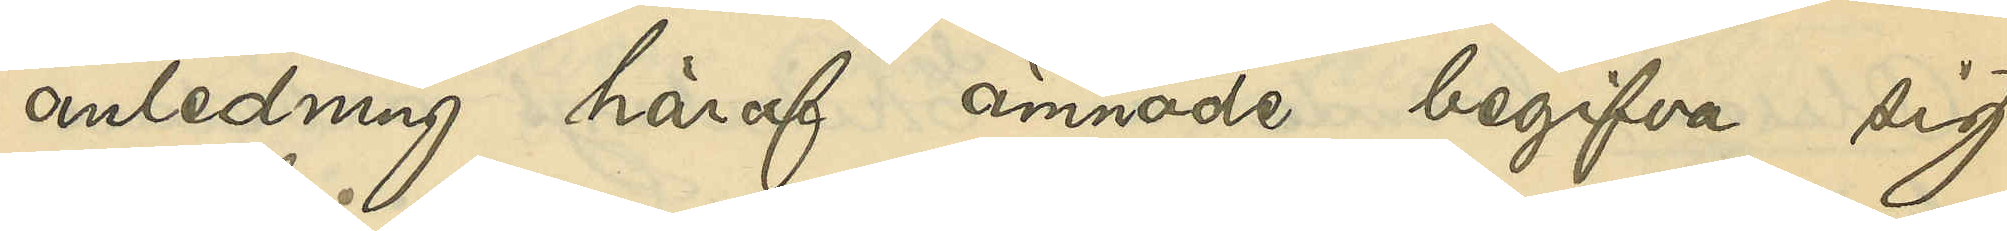anledning häraf ämnade begifva sig
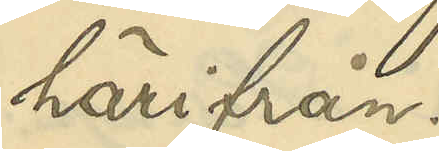härifrån.
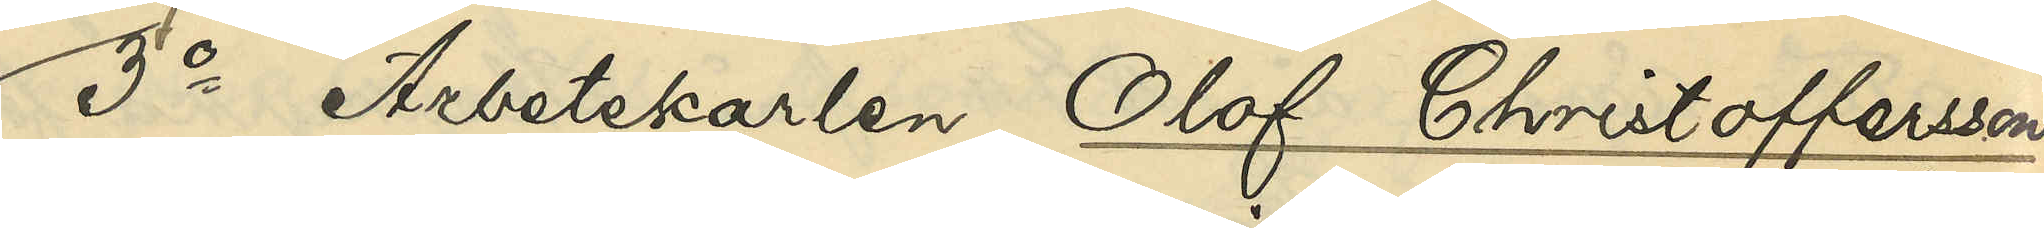3o Arbetskarlen Olof Christoffersson,
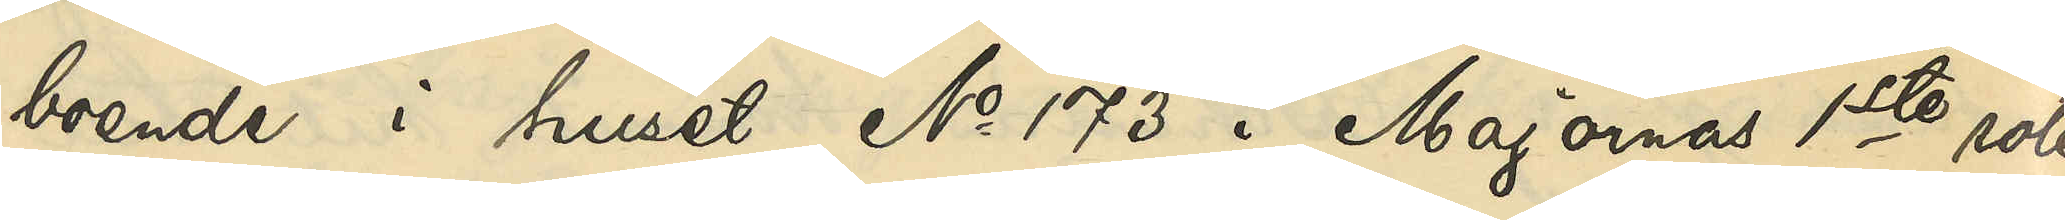boende i huset No 173 i Majornas 1ste rote
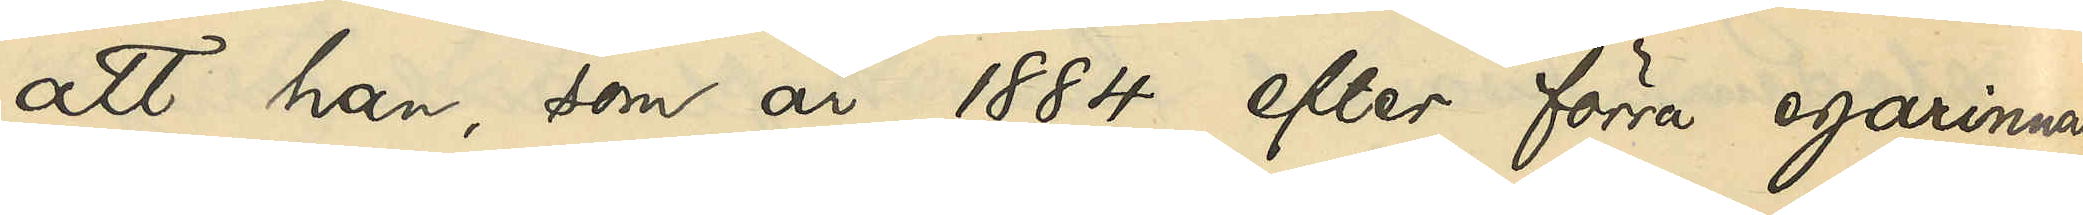att han, som år 1884 efter förra egarinnan
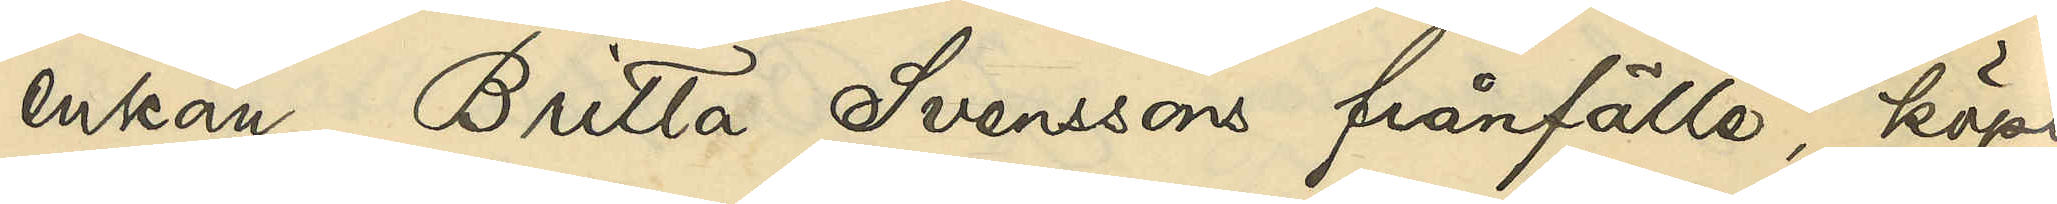enkan Britta Svenssons frånfälle, köpt
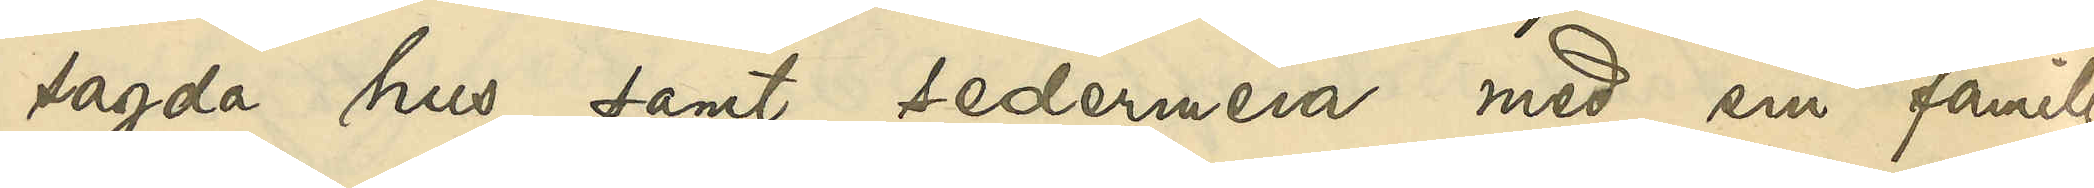sagda hus samt sedermera med sin familj
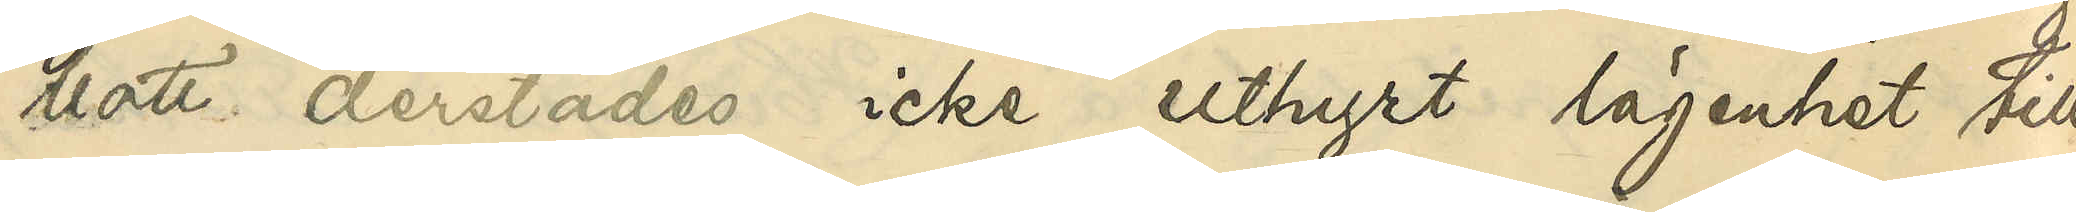bott derstädes icke uthyrt lägenhet till
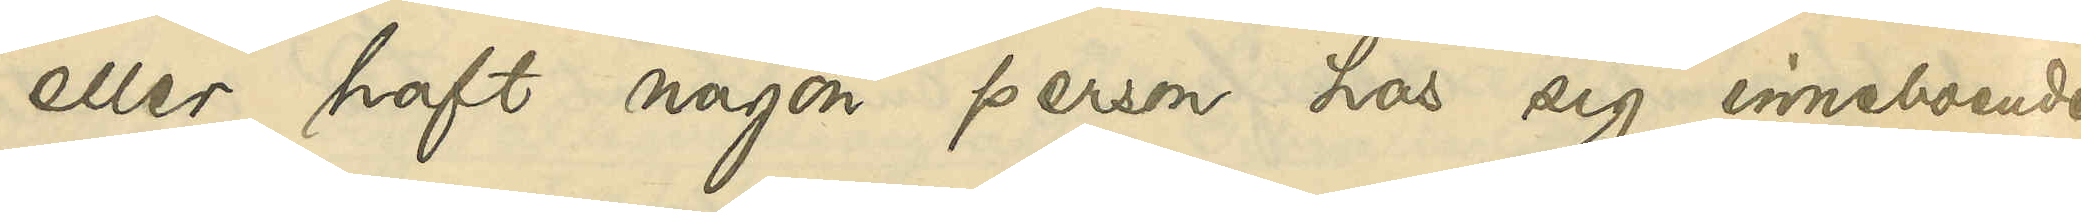eller haft någon person hos sig inneboende
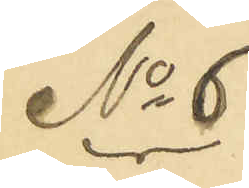No 6
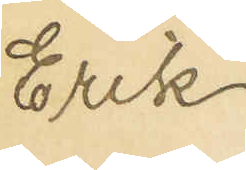Erik
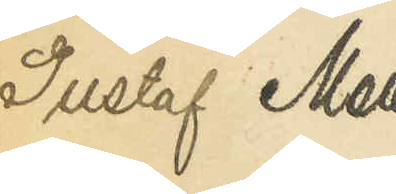Gustaf Mell¬
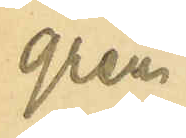gren.
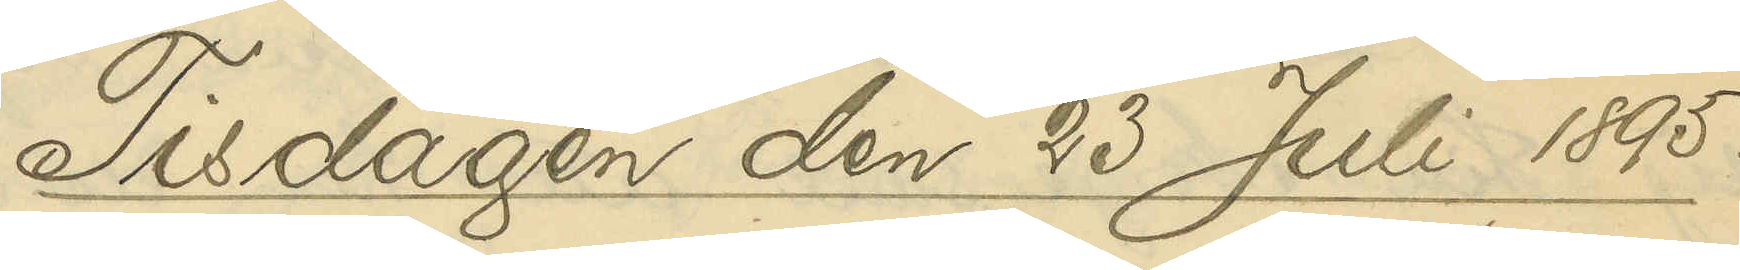Tisdagen den 23 Juli 1895.
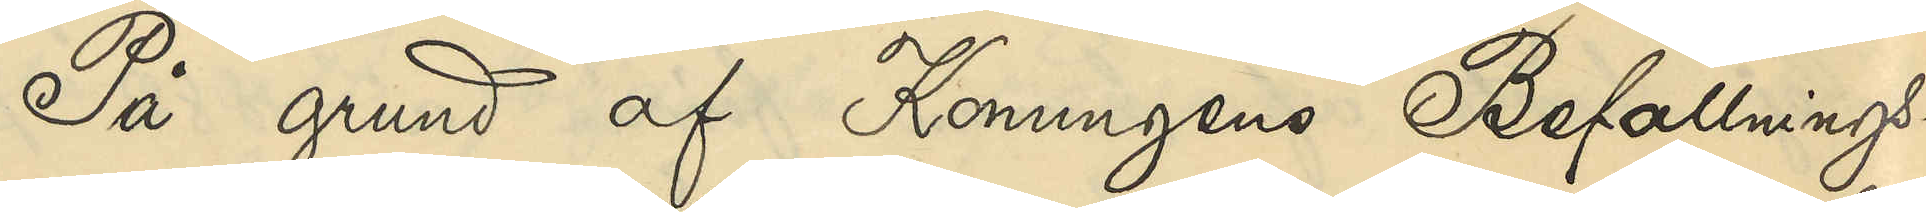På grund af Konungens Befallnings¬
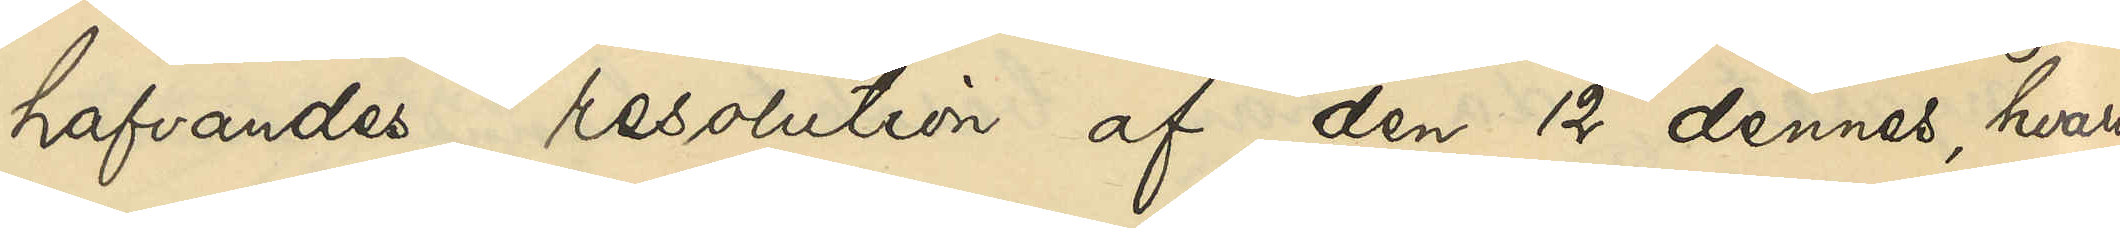hafvandes resolution af den 12 dennes, hvari¬
